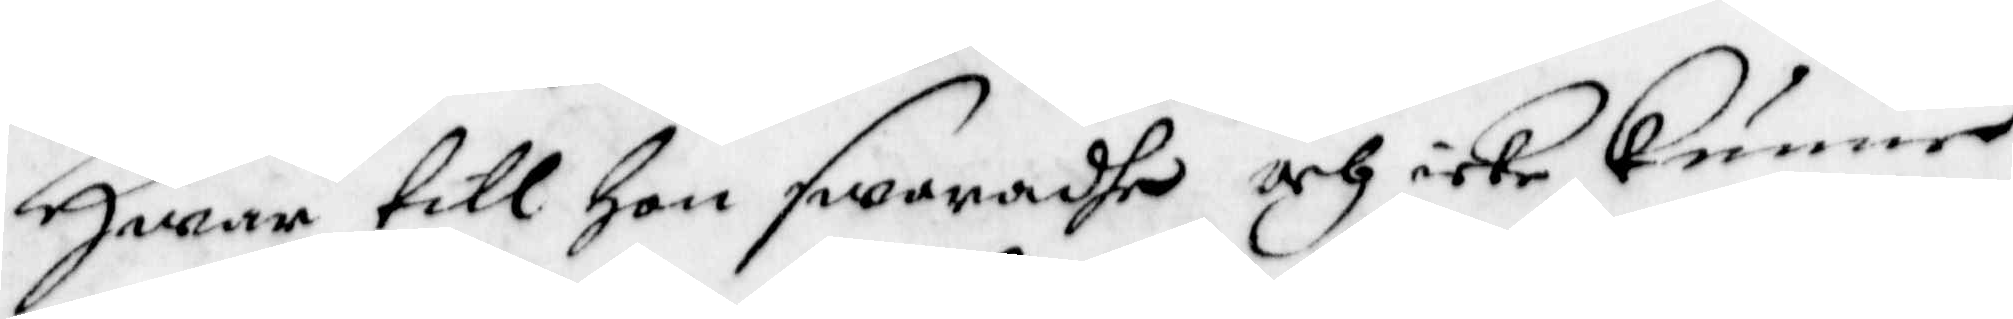Huaar till Hon swaradhe och icke kunne
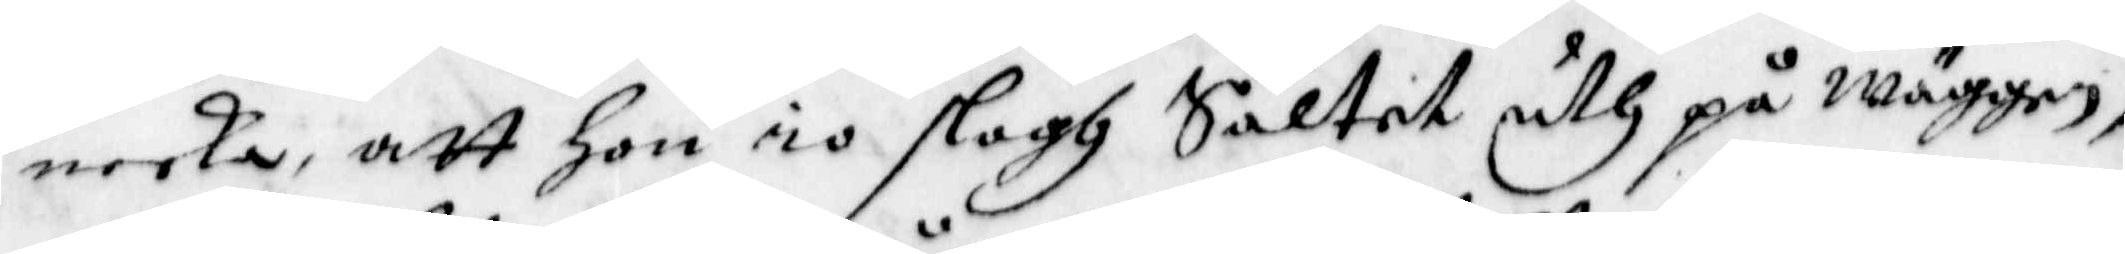neeka, att Hon io slogh Saltet uth på wäggen,
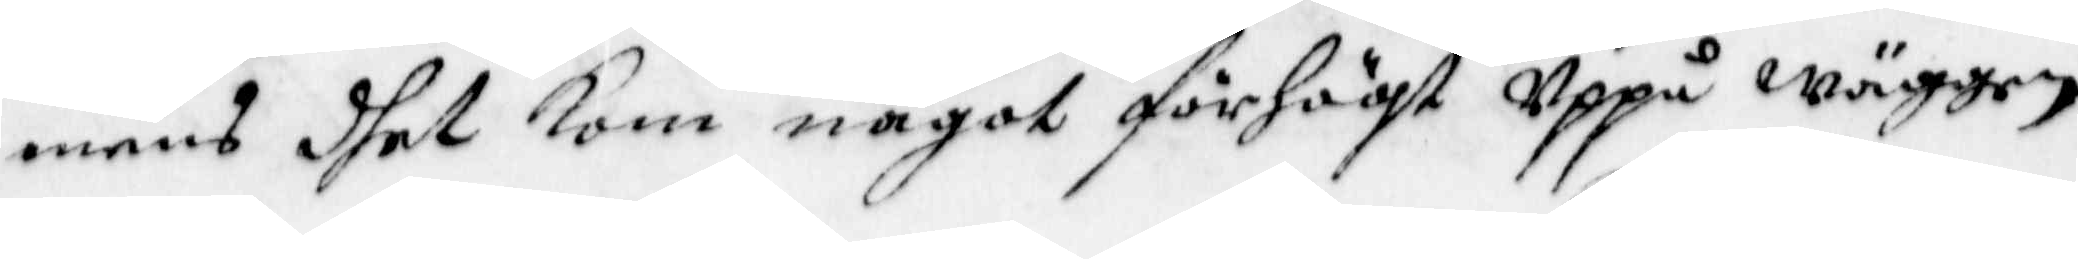mens dhet kom något förhögt Uppå wäggen,
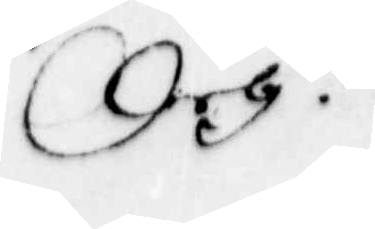Och
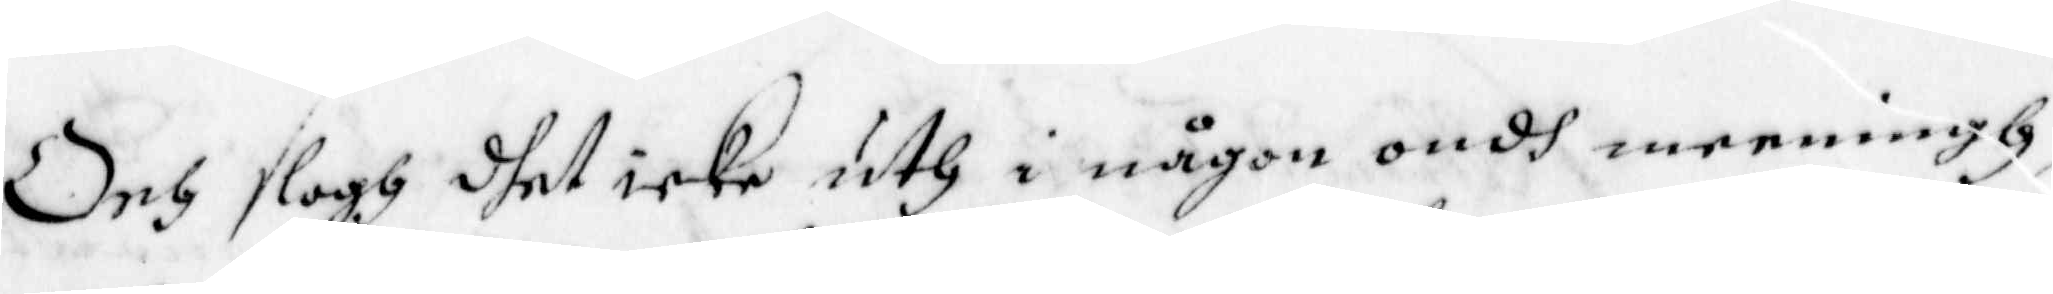Och slogh dhet icke uth i någon ondh meeningh
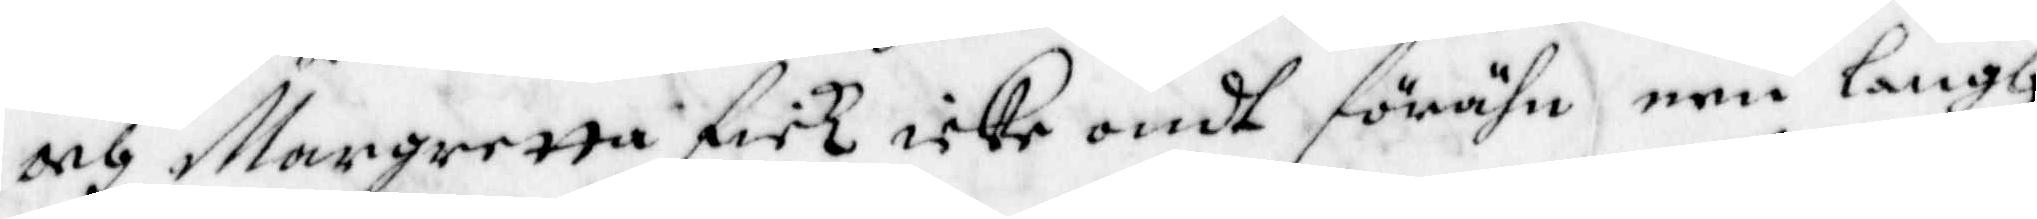och Margretta fick icke ondt förrähn een Langh
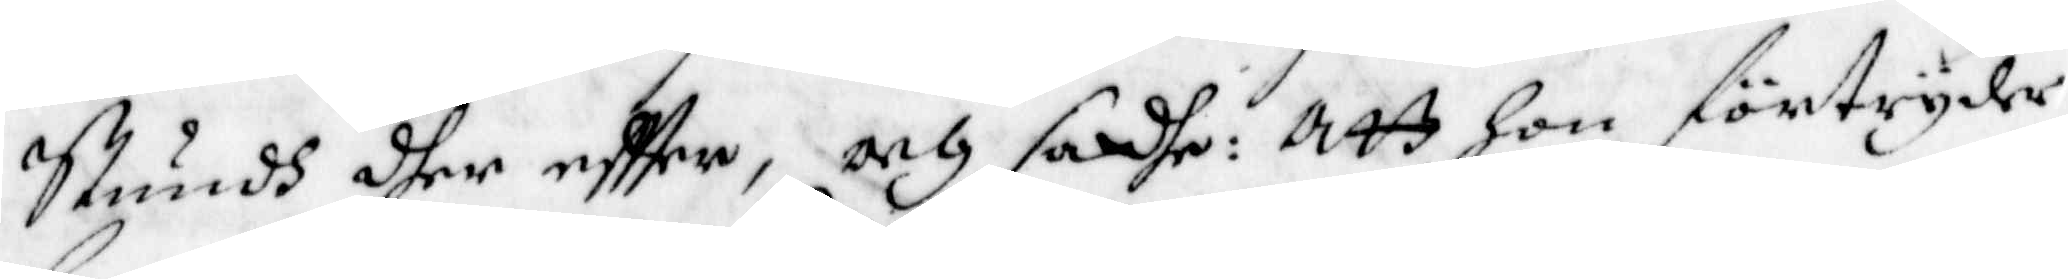Stundh dher eftter, och sadhe: Att Hon förtryder
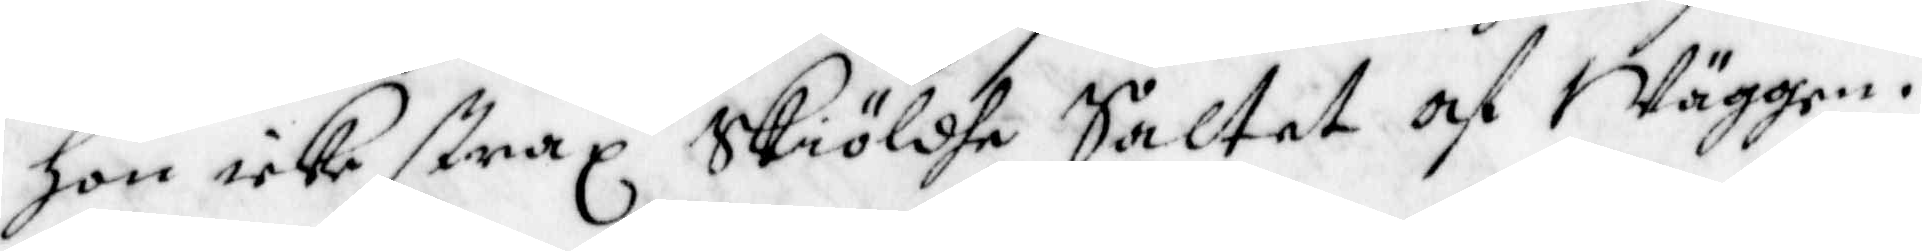Hon icke strax Skiöldhe Saltet af Wäggen.
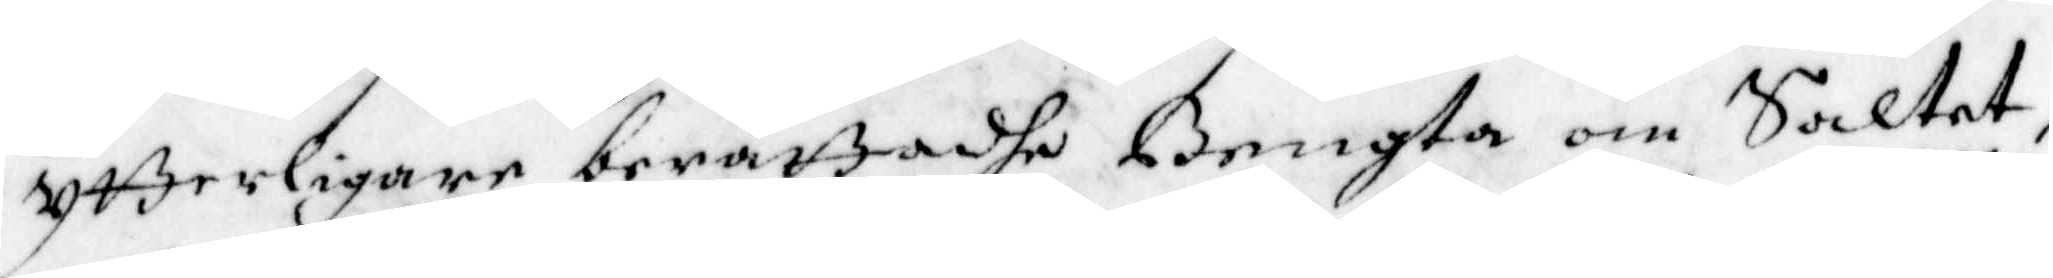ytterligare berättadhe Bengta om Saltet,
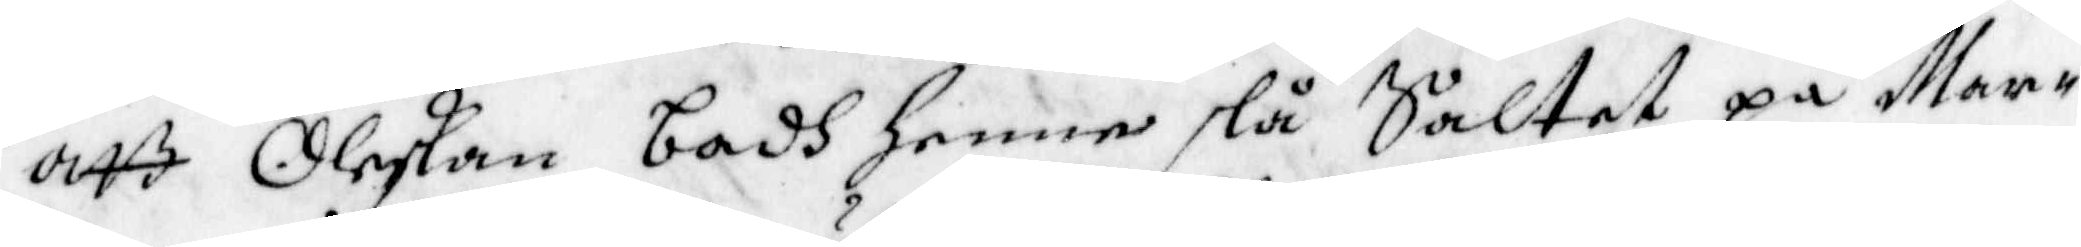att Oleskan badh henne slå Saltet på Mar¬
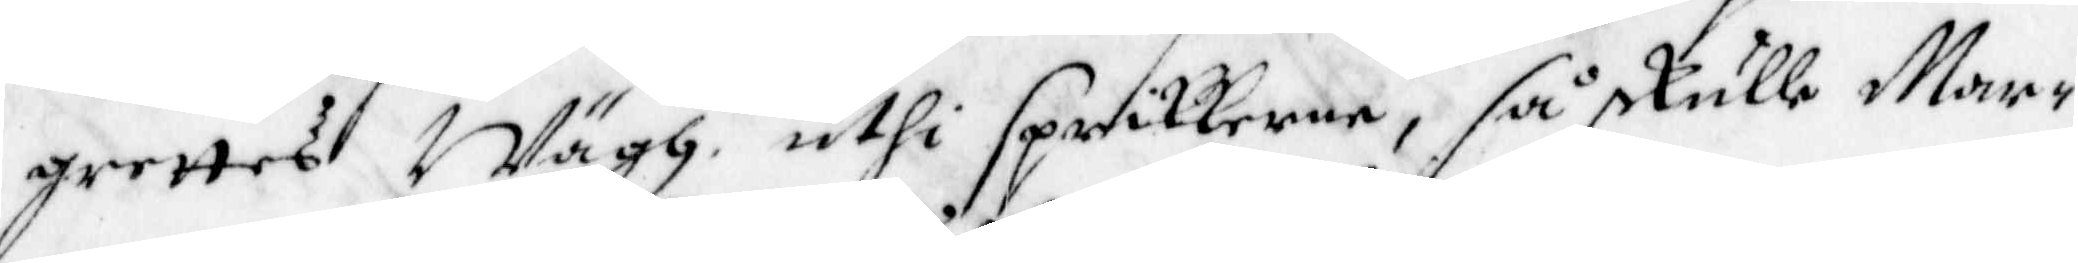grettes Wägh, uthi Sprikkerna, så skulle Mar¬
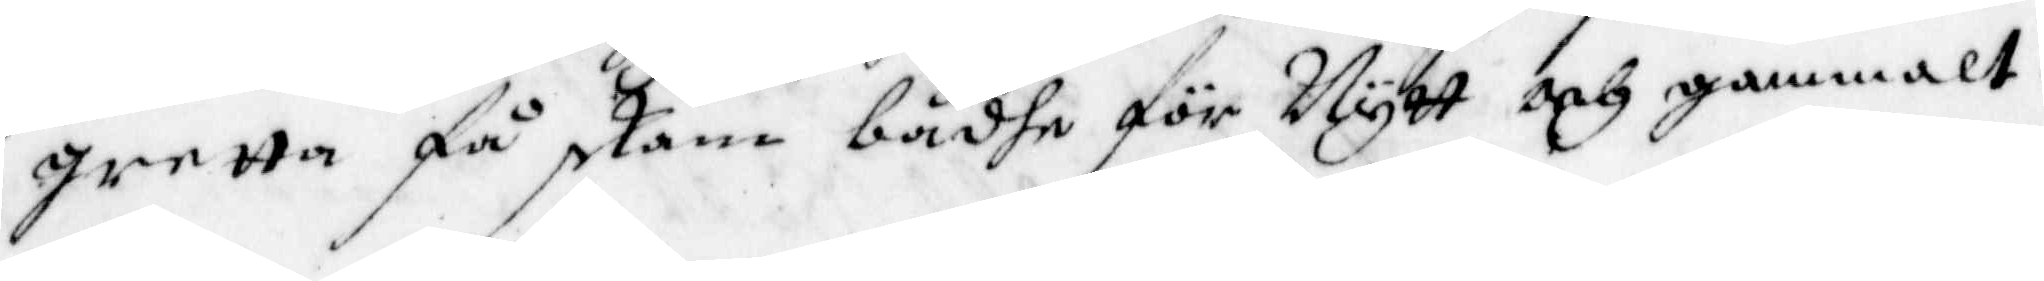gretta få skam bådhe för Nytt och gammalt.
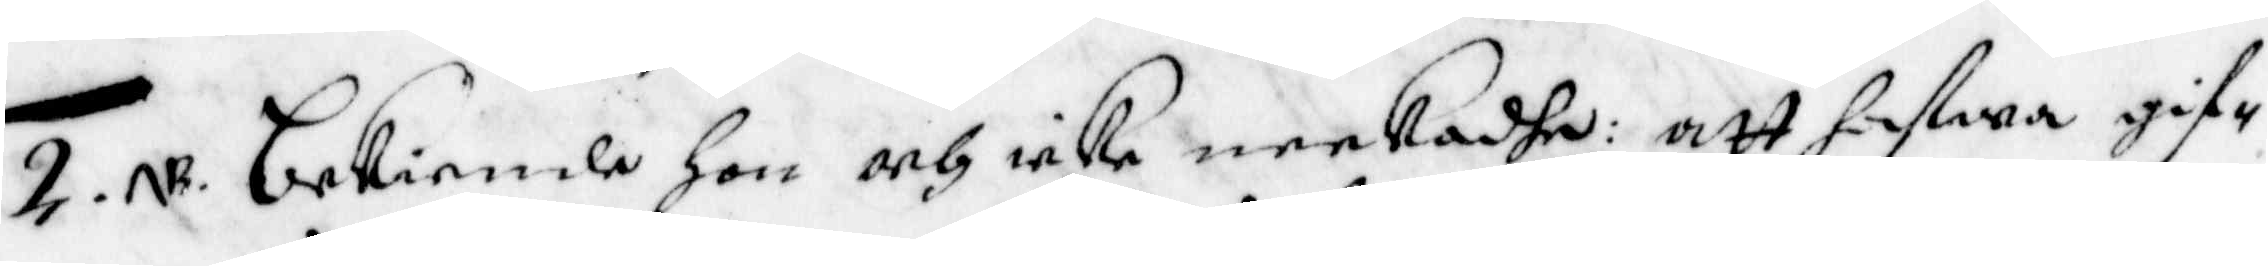2. NB. Bekiende Hon och icke neekadhe: att hafwa gif¬
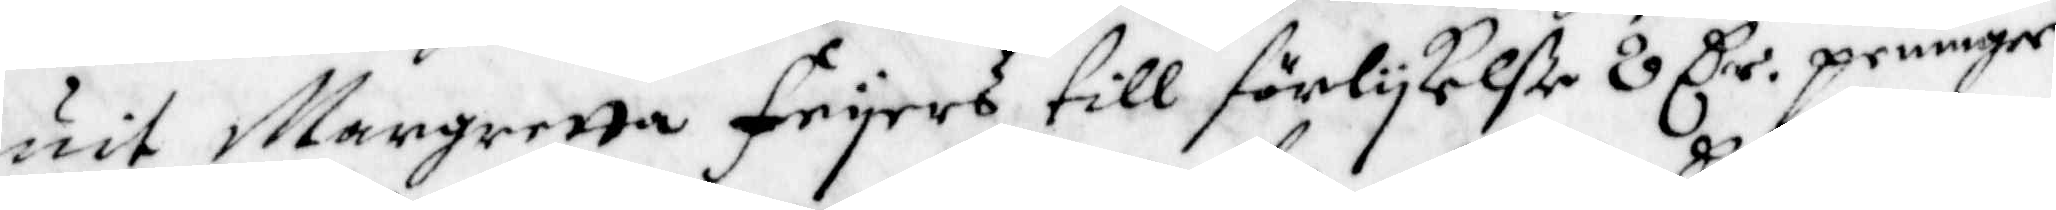uit Margretta Feyers till förlykelße 8 Cr. penningar
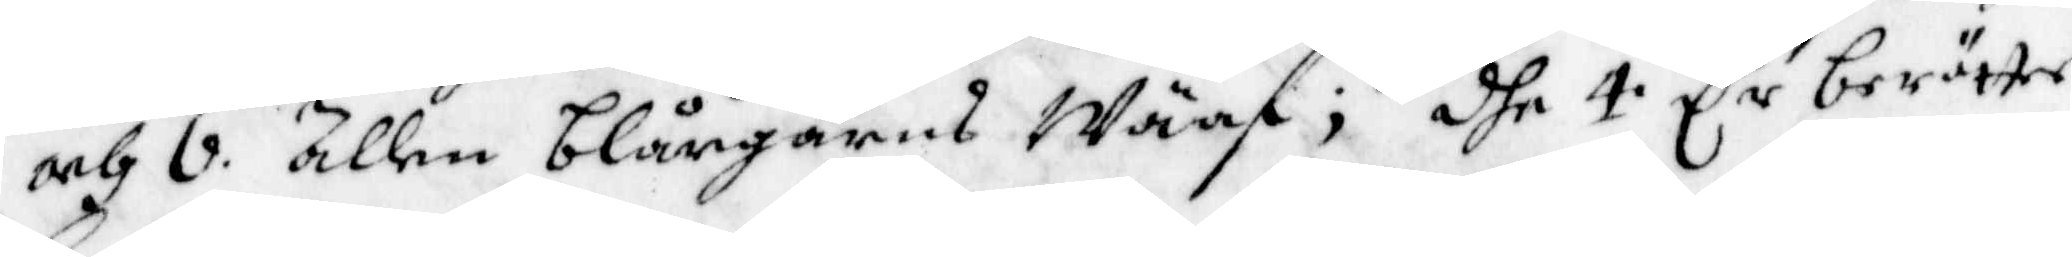och 6 ällen blångarns Wäaf; dhe 4 Cr berätte
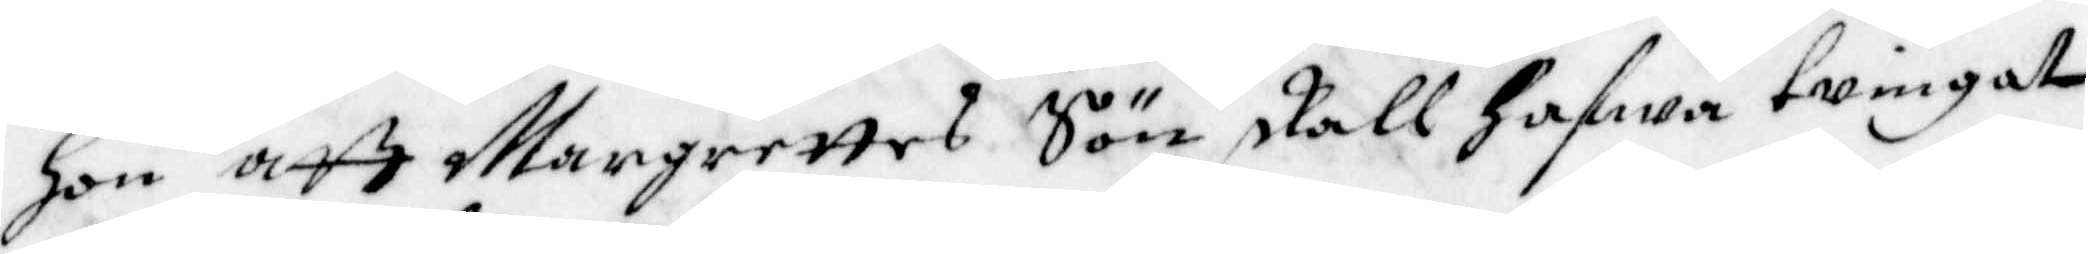Hon aff Margrettes Sön skall hafwa twingat
